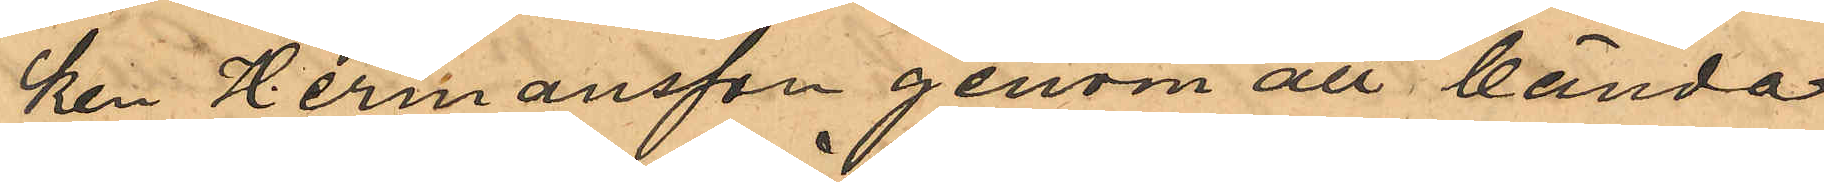ken Hermansson genom att bända
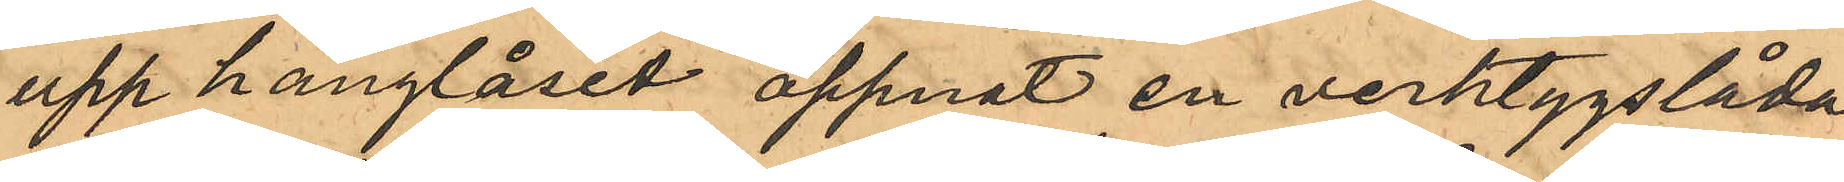upp hänglåset öppnat en verktygslåda
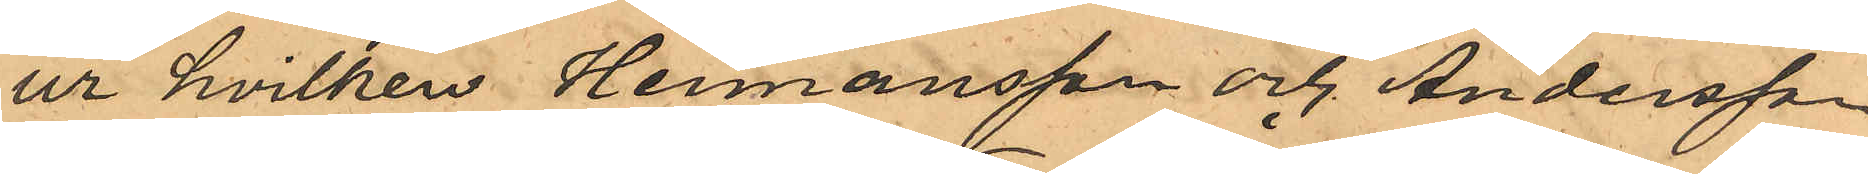ur hvilken Hermansson och Andersson
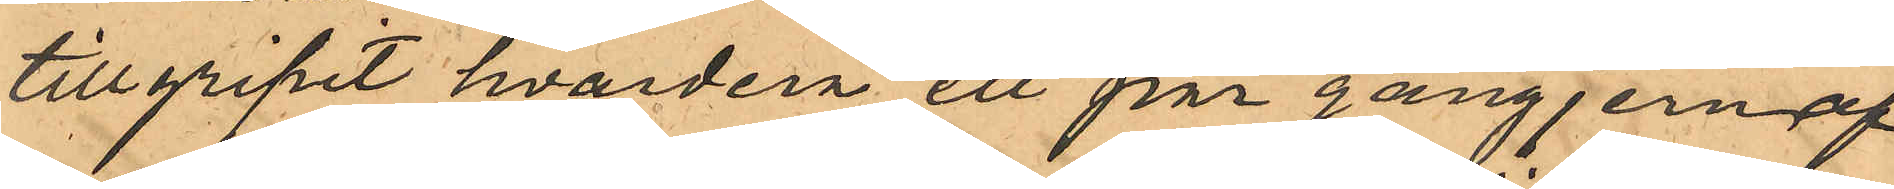tillgripit hvardera ett par gångjern af
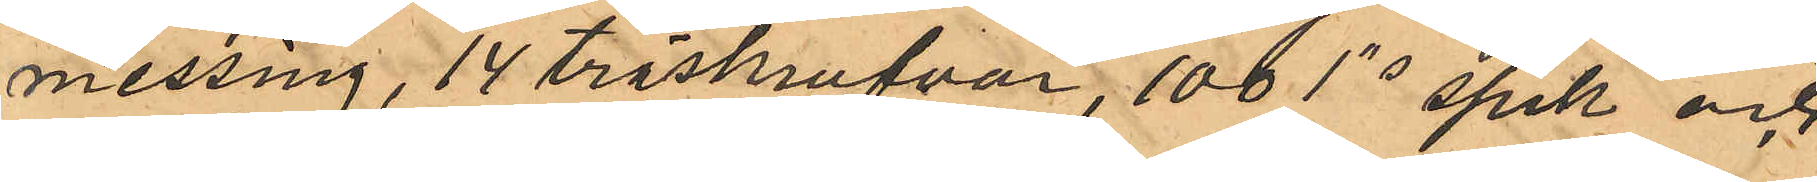messing, 14 träskrufvar, 100 1"s spik och
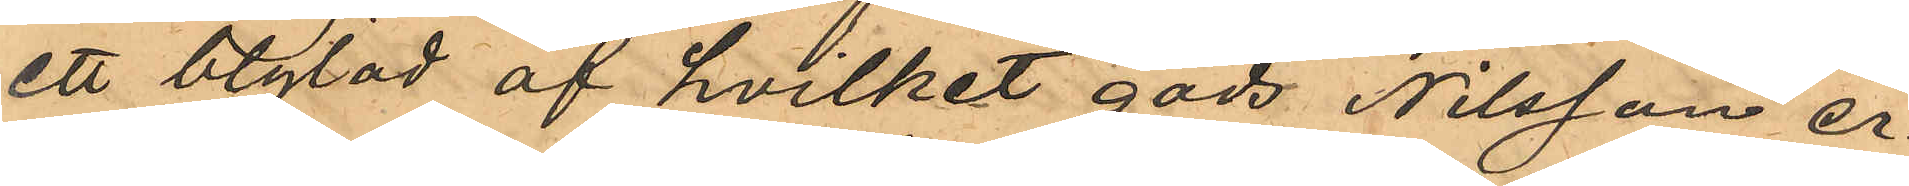ett blylod af hvilket gods Nilsson er¬
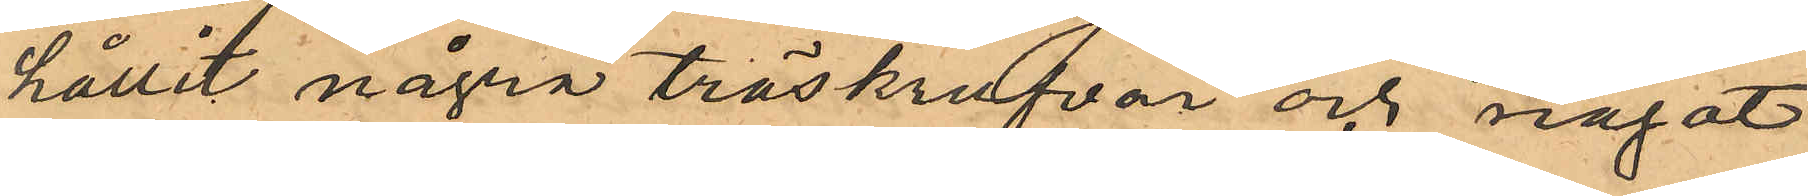hållit några träskrufvar och något
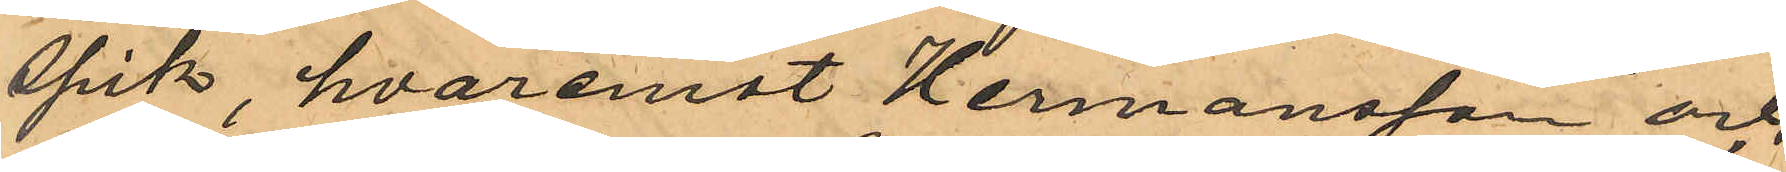spik, hvaremot Hermansson och
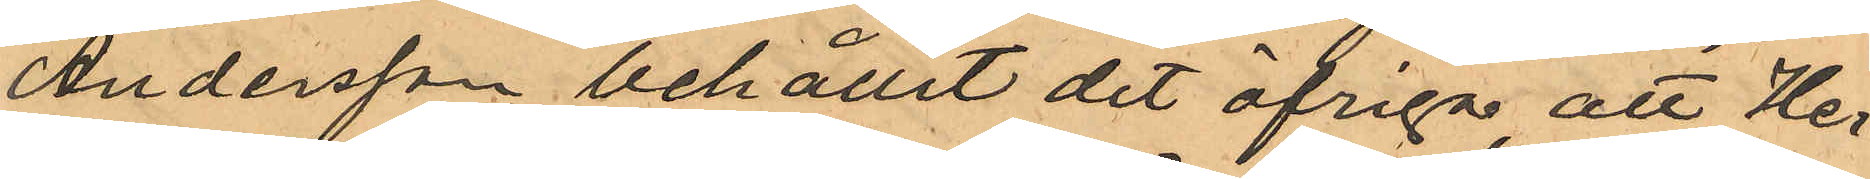Andersson behållit det öfriga, att Her¬
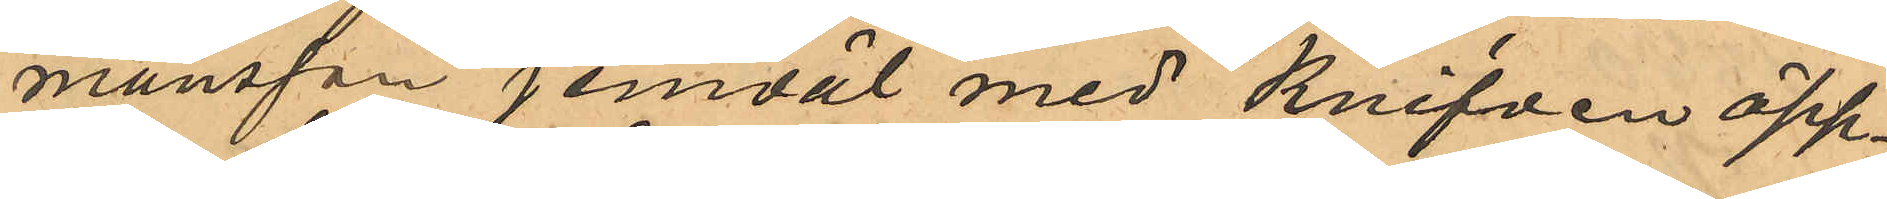mansson jemväl med knifven öpp¬
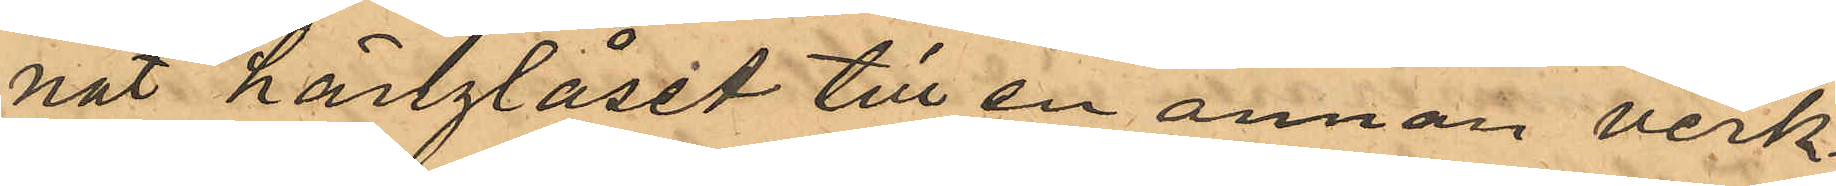nat hänglåset till en annan verk¬
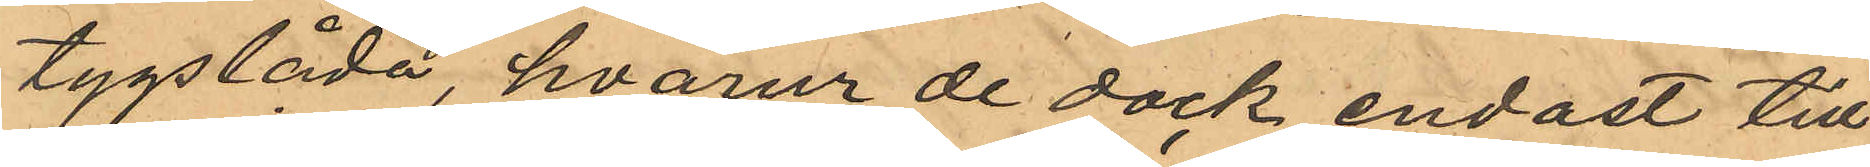tygslåda, hvarur de dock endast till¬
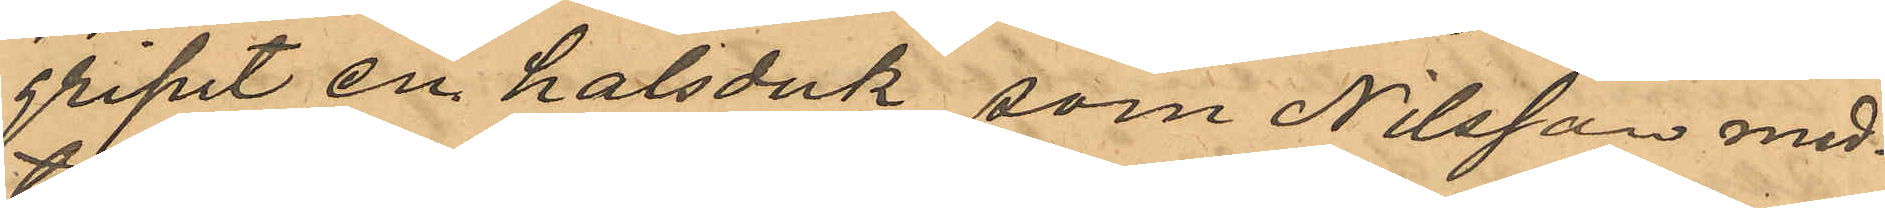gripit en halsduk, som Nilsson med¬
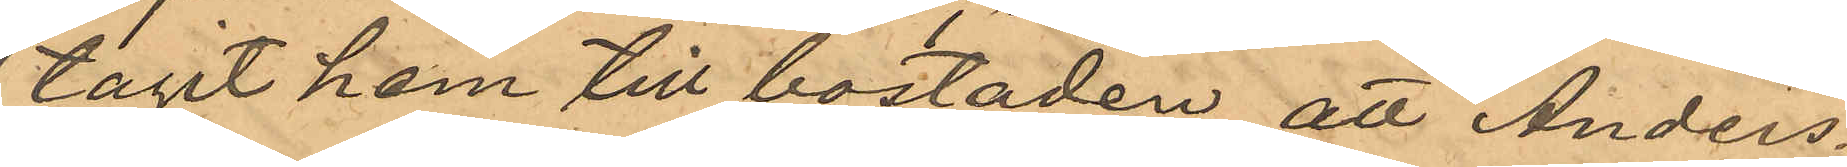tagit hem till bostaden, att Anders¬
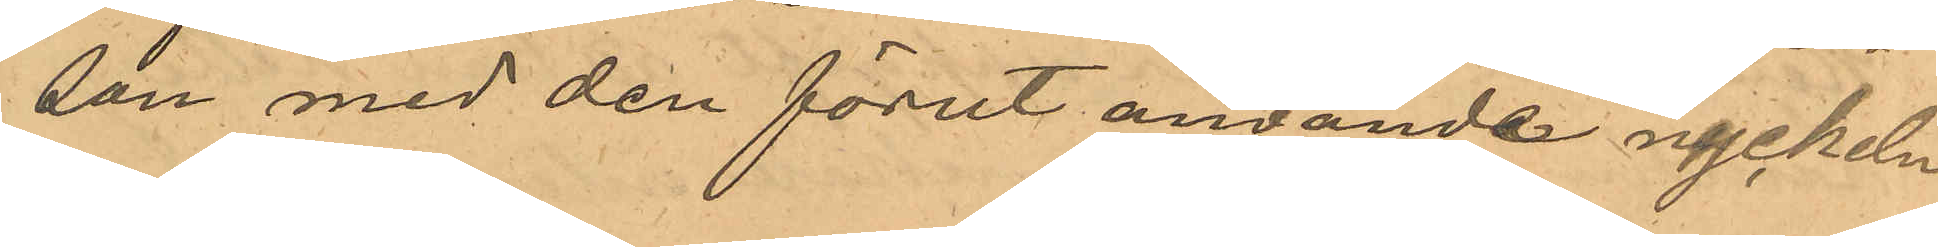son med den förut använde nyckeln
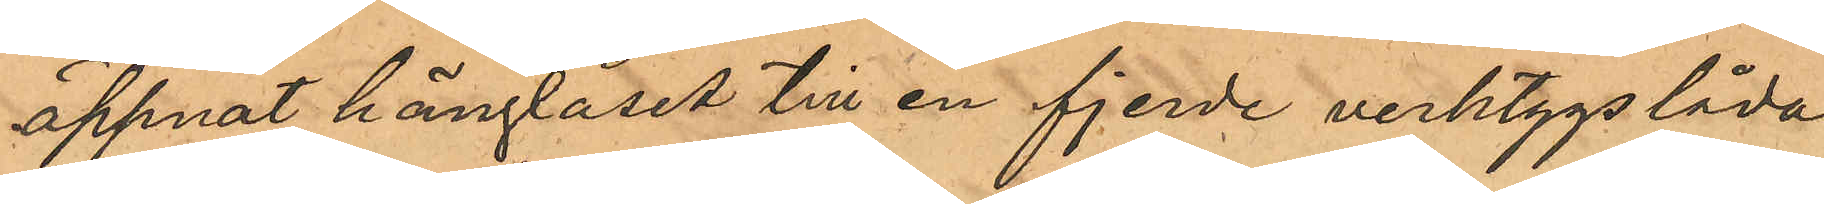öppnat hänglåset till en fjerde verktygslåda,
